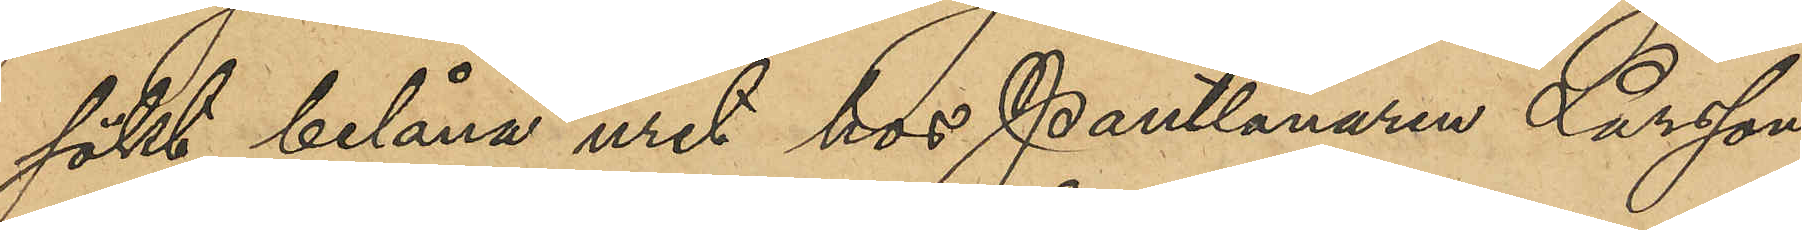sökt belåna uret hos Pantlånaren Larsson,
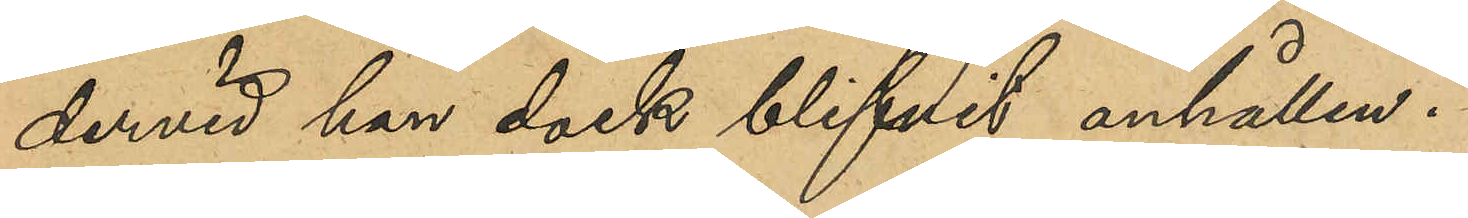dervid han dock blifvit anhållen.
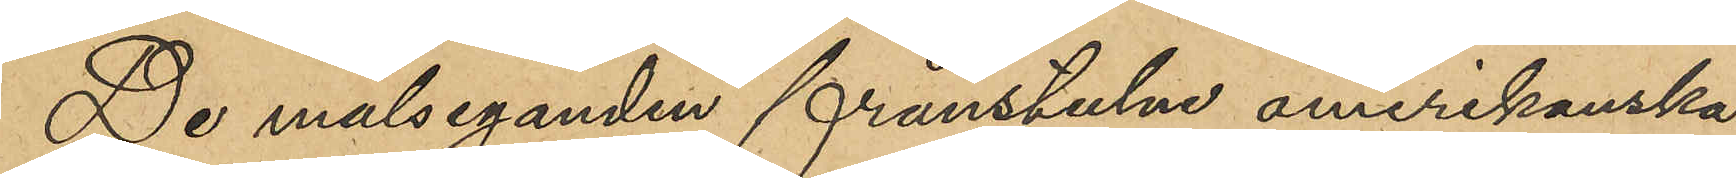De målseganden frånstulna amerikanska
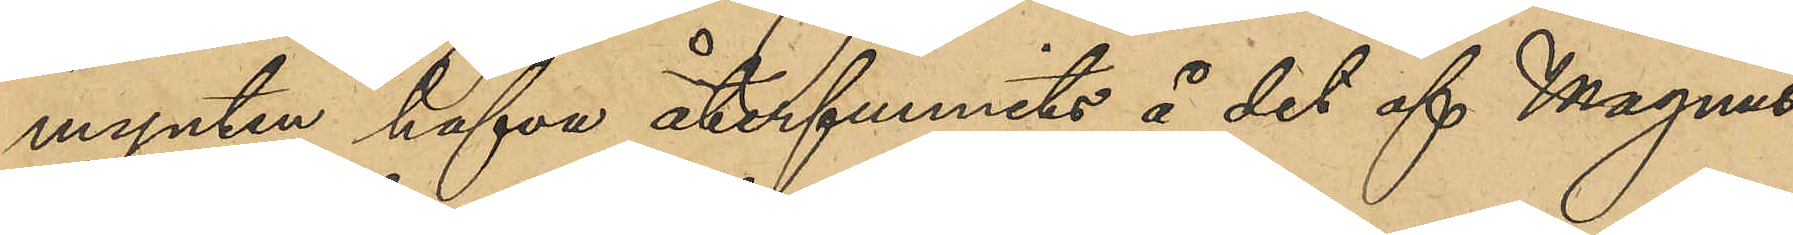mynten hafva återfunnits å det af Magnus¬
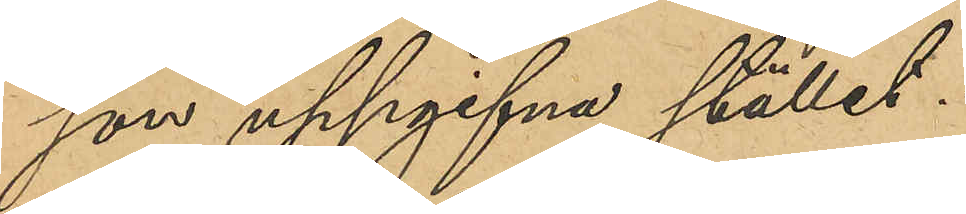son uppgifna stället.
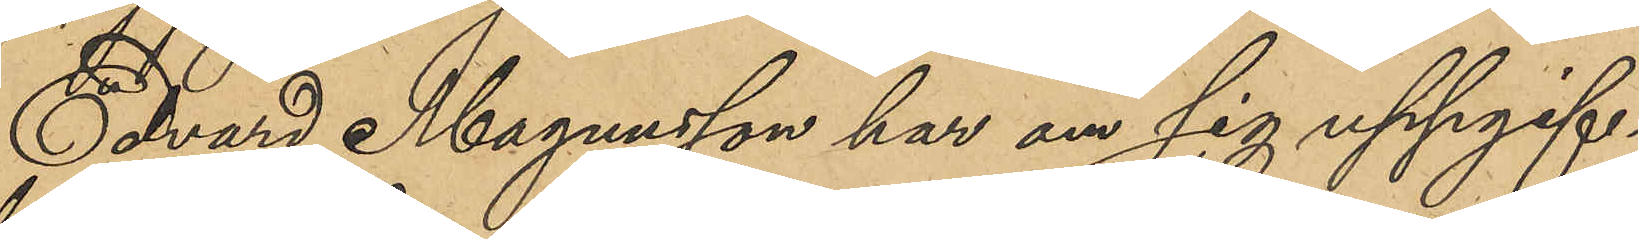Edvard Magnusson har om sig uppgif¬
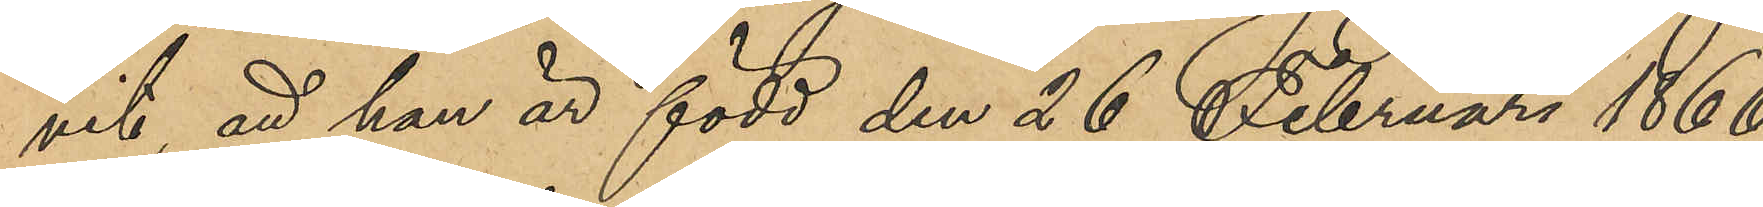vit att han är född den 26 Februari 1866
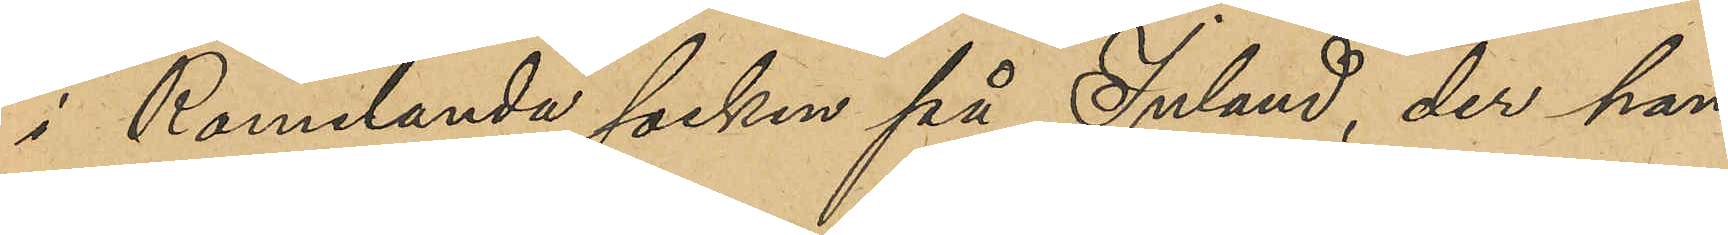i Romelanda socken på Inland, der han
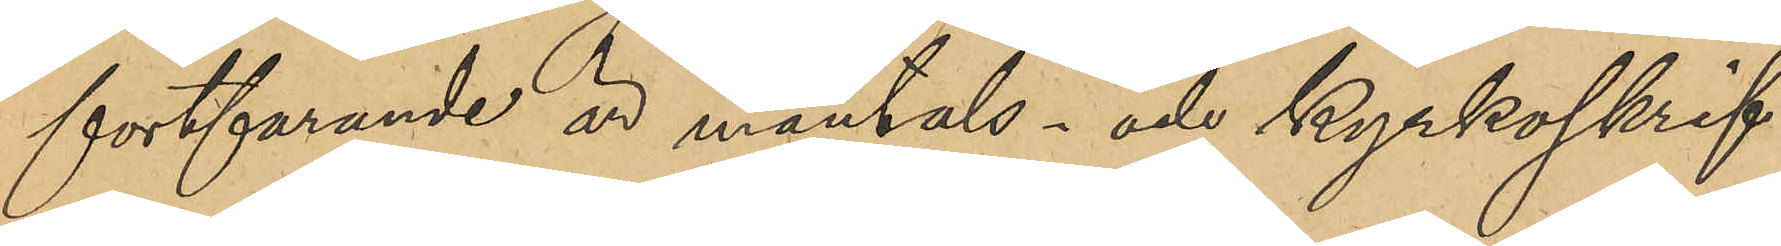fortfarande är mantals- och kyrkoskrif¬
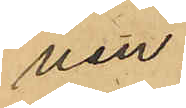ven.
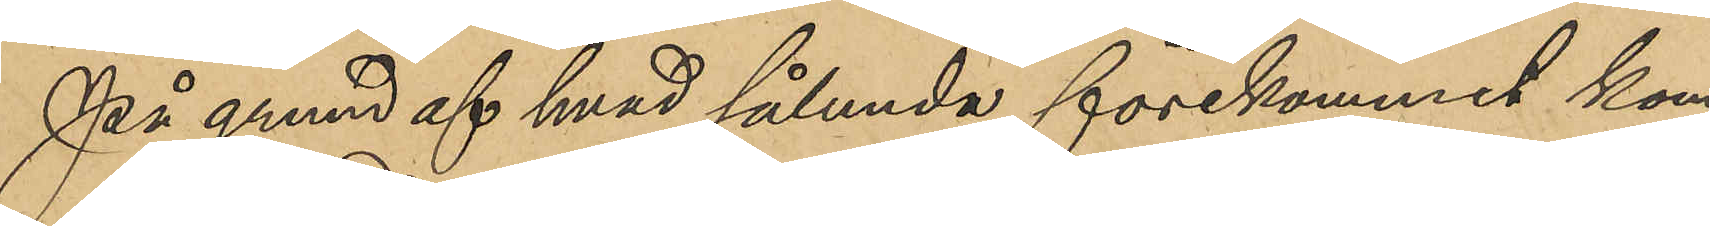På grund af hvad sålunda förekommit ko¬
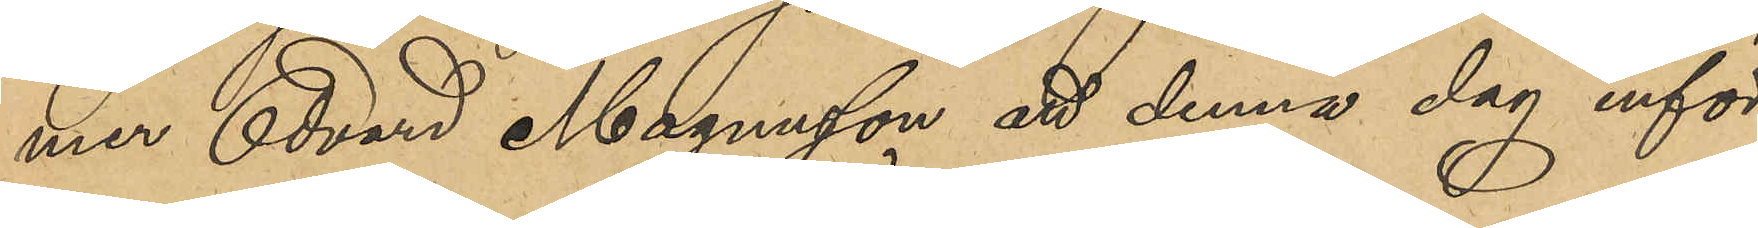mer Edvard Magnusson att denna dag inför
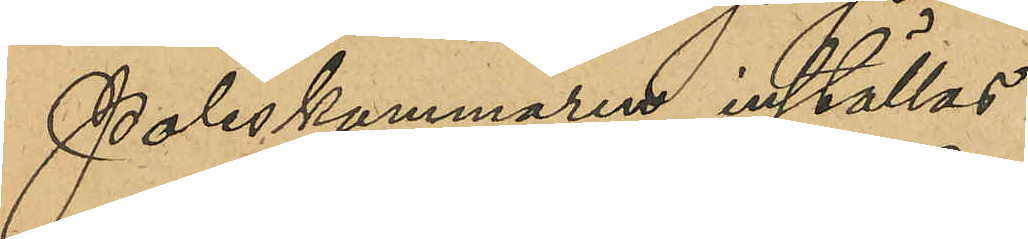Poliskammaren inställas.
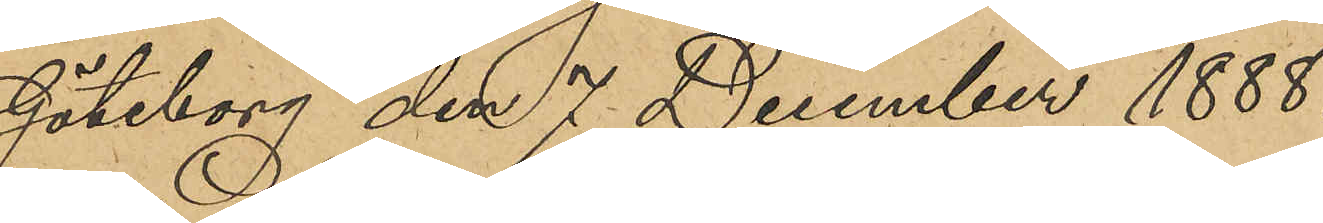Göteborg den 7 December 1888.
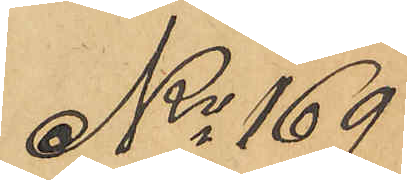No 169
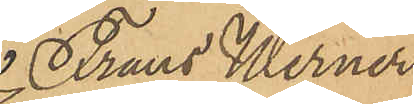Frans Werner
